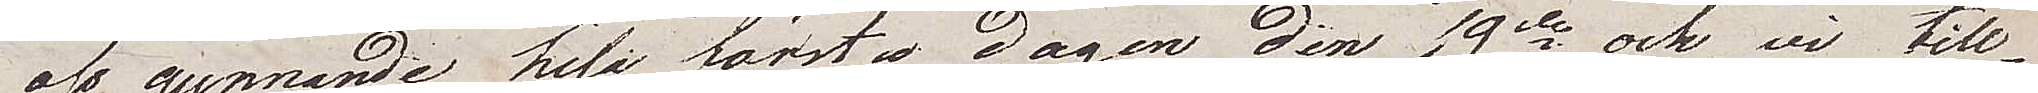oss gynnande hela första dagen den 19de och vi till¬
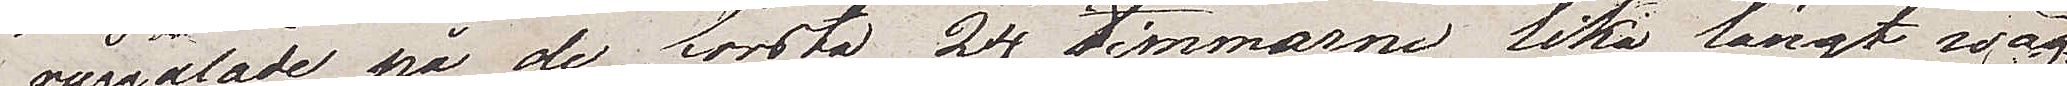ryggalade på de första 24 timmarne lika långt wäg¬
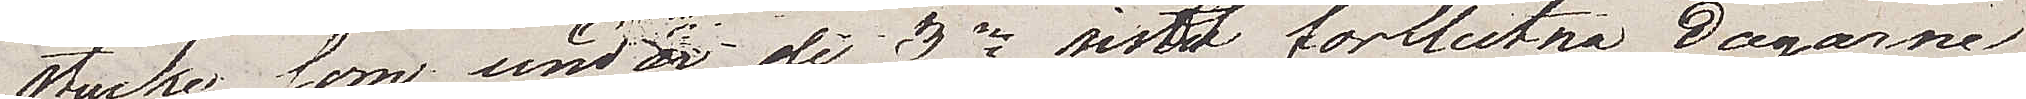stycke som under de 3ne sist förflutna dagarne
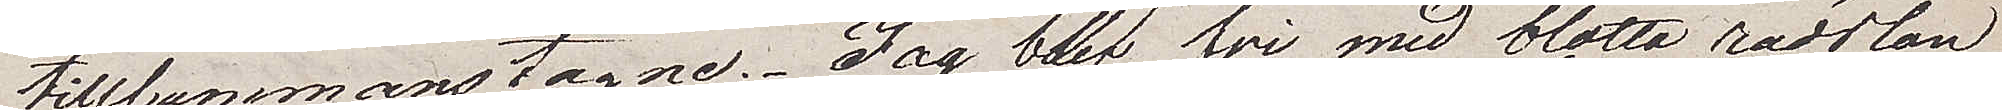tillsammantagne. Jag blef fri med blotta rädslan
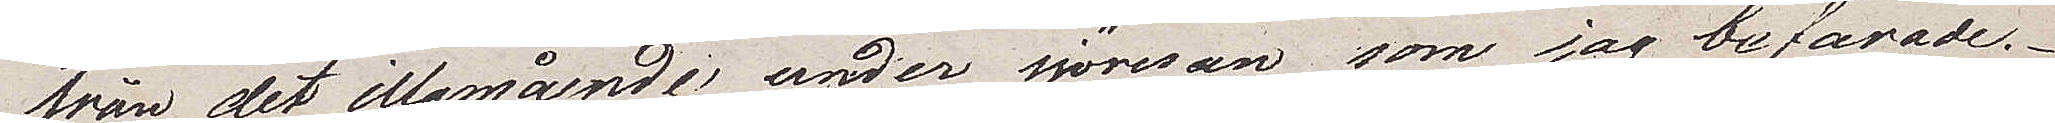från det illamående under sjöresan som jag befarade.
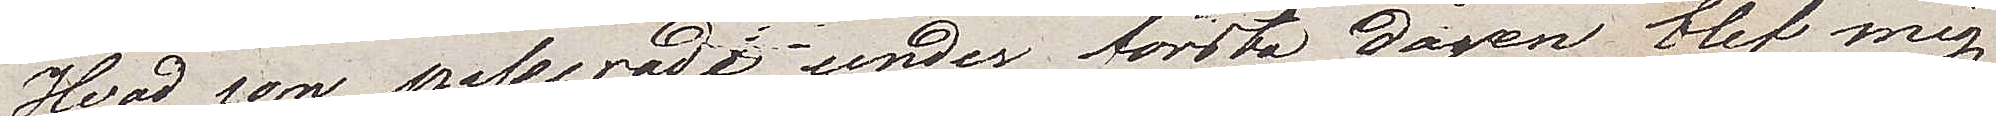Hvad som passerade under första dagen blef mig
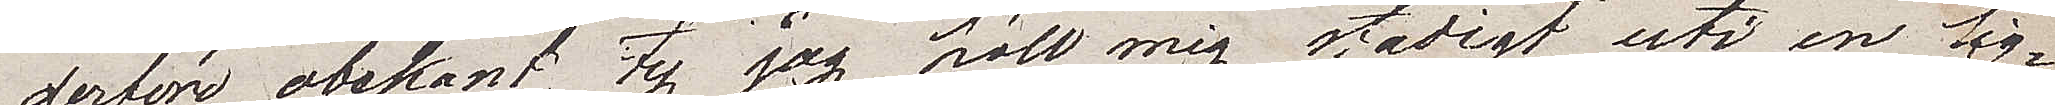derför obekant ty jag höll mig stadigt uti en lig¬
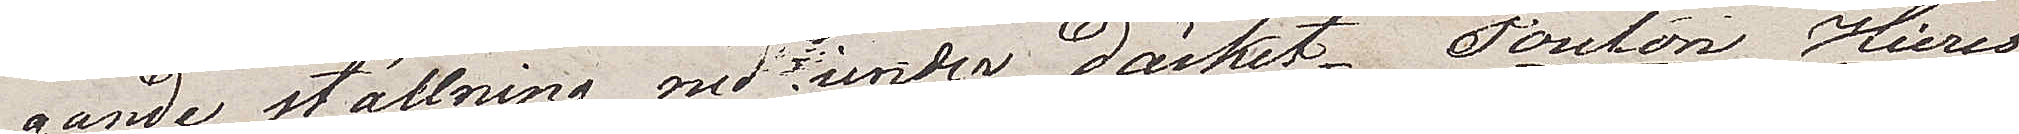gande ställning ned under däcket. Toulon, Hieres
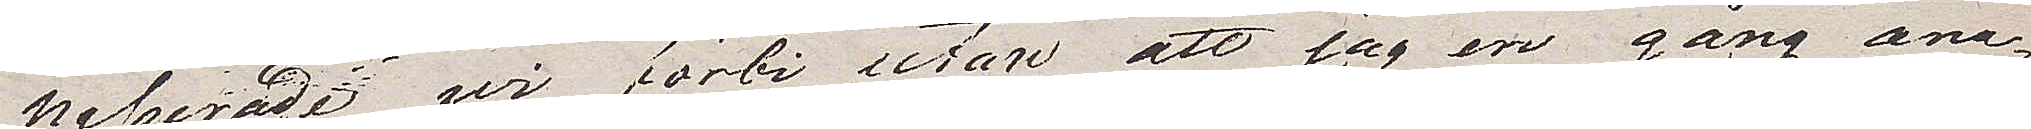passerade wi förbi utan att jag en gång ana¬
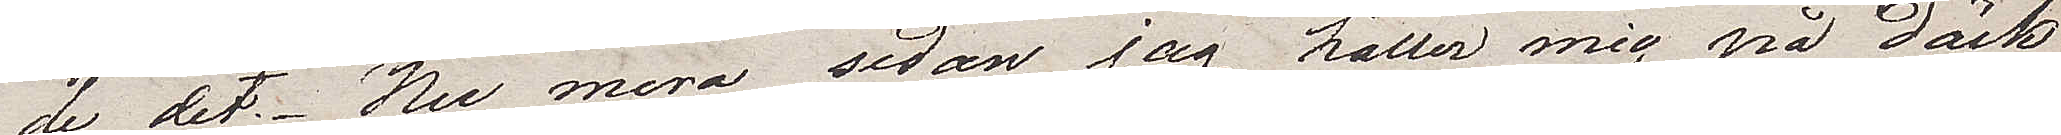de det. Nu mera sedan jag håller mig på däck
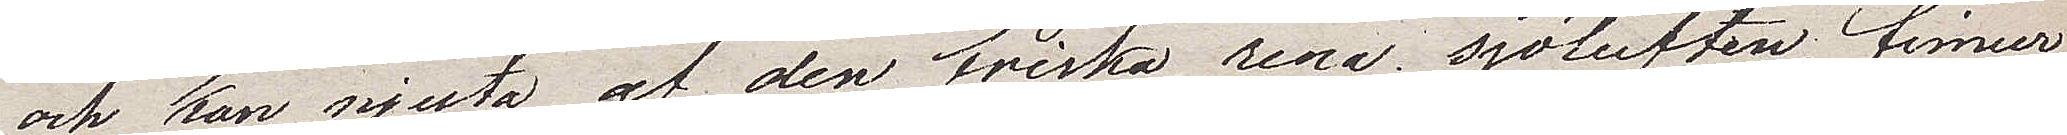och kan njuta af den friska, rena sjöluften, finner
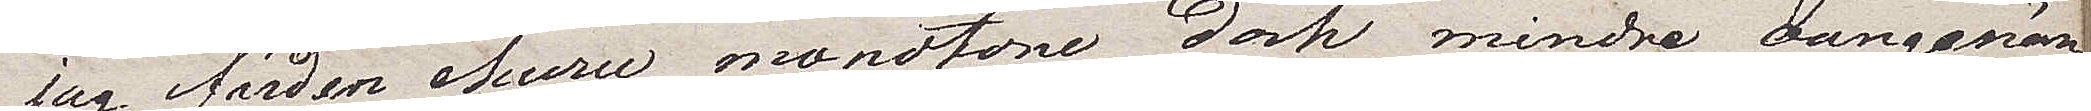jag färden, ehuru monotone dock mindre oangenäm
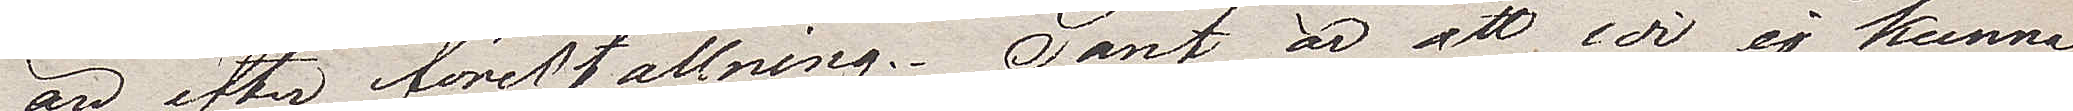än efter föreställning. Sant är att wi ej kunna
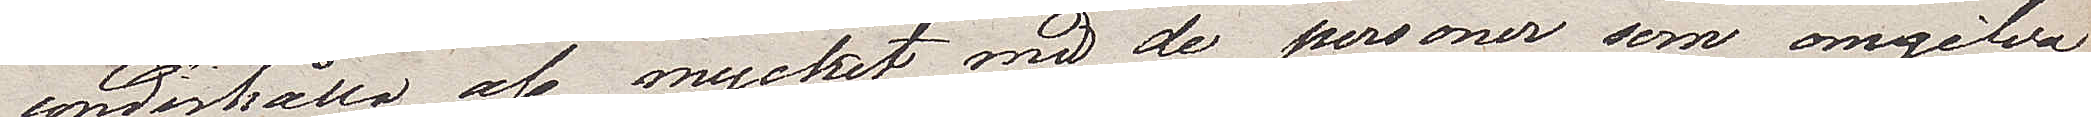underhålla oss mycket med de personer som omgifva
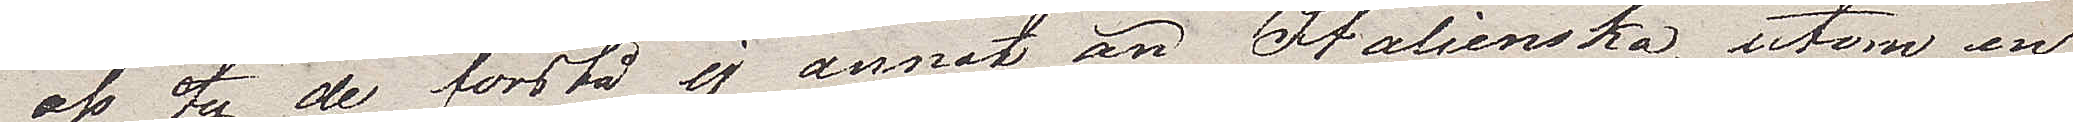oss ity de förstå ej annat än Italienska, utom en
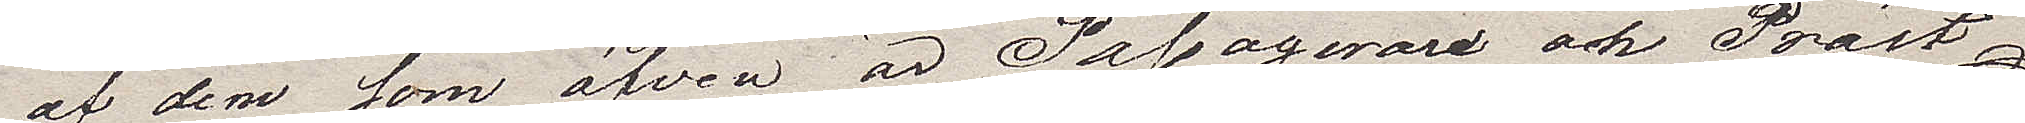av dem som äfven är Passagerare och Präst.
